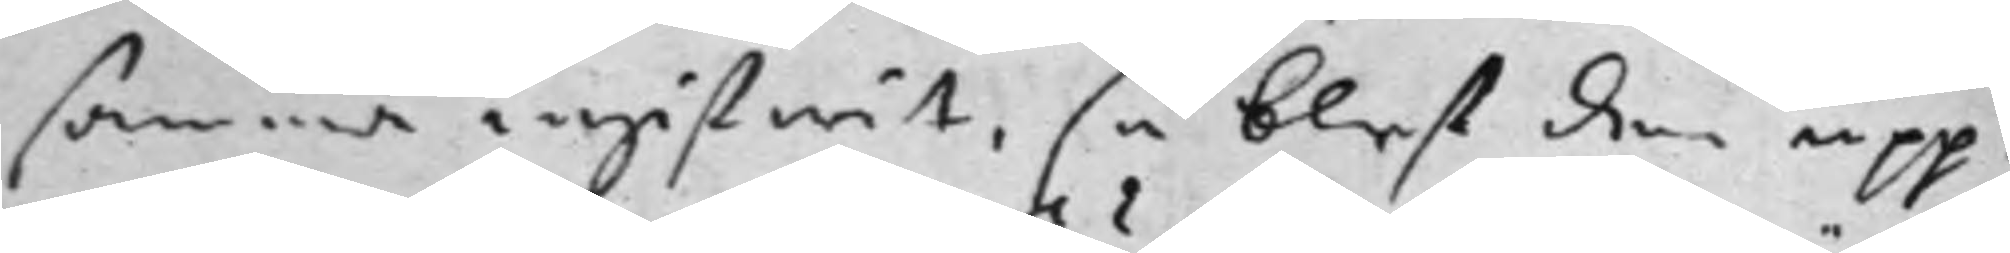samma ingifwit, så blef den upp¬
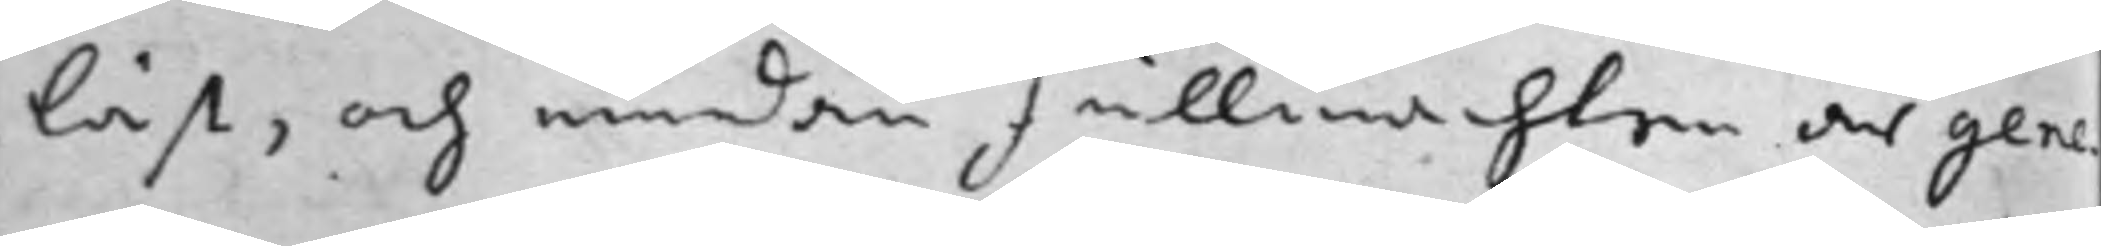läst, och emedan Fullmachten där gene¬
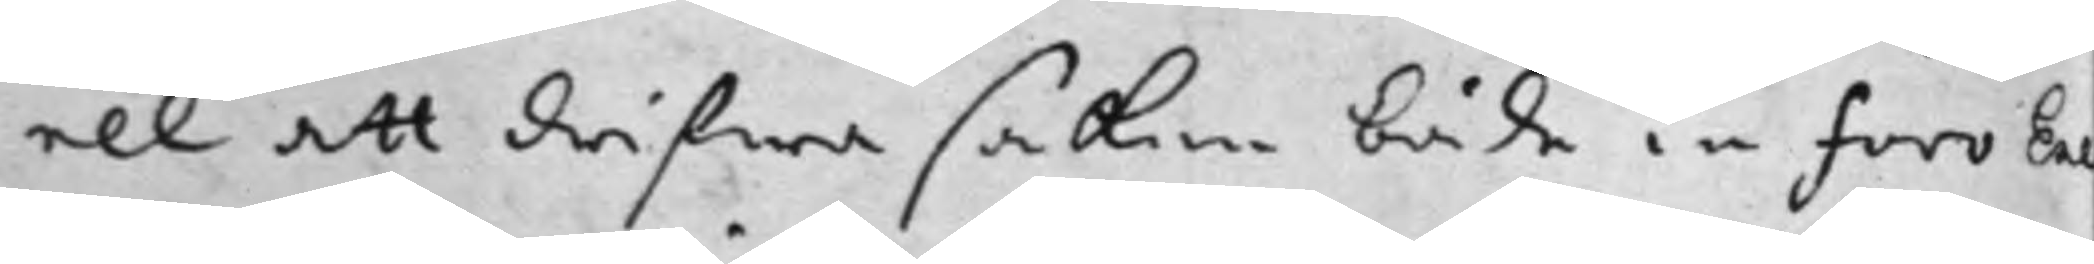ell att drifwa saken både in Foro Exe¬
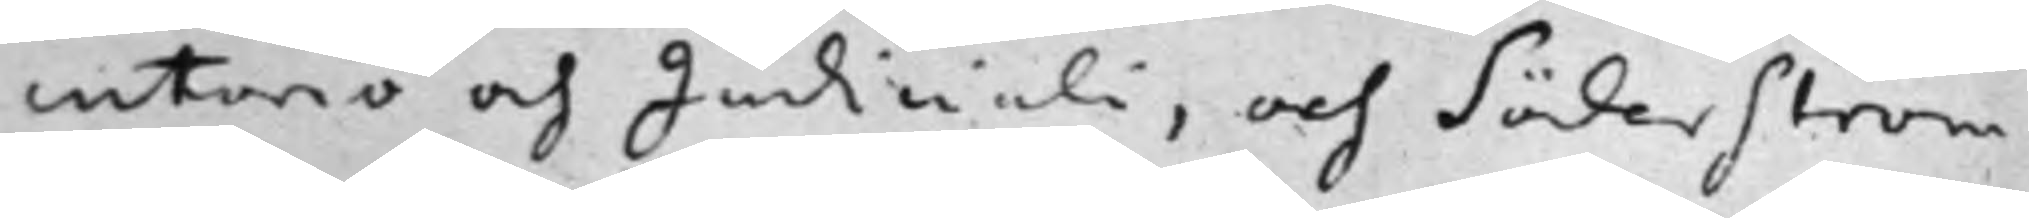cutorio och Judiciali, och Söderström
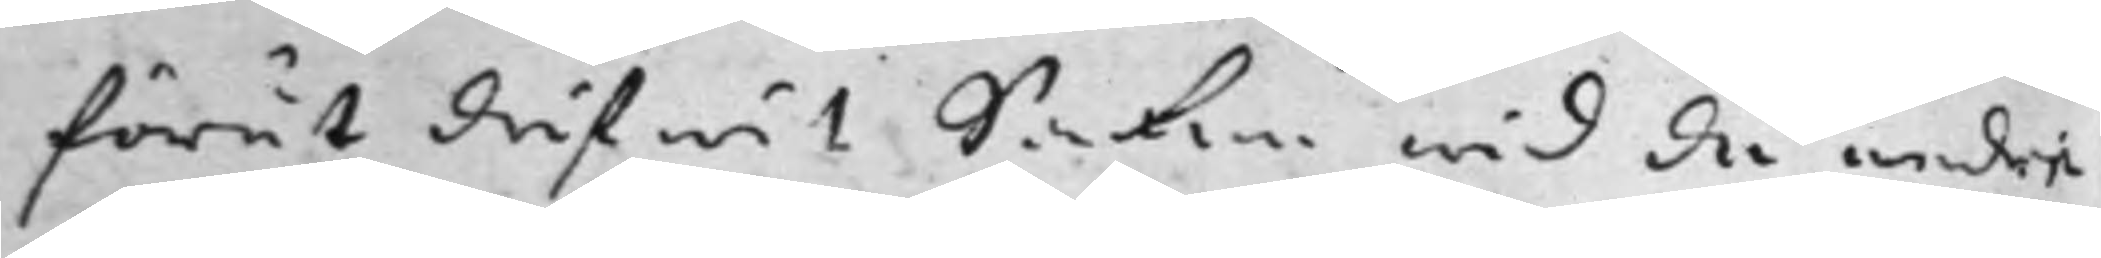förut drifwit Saken wid de andre
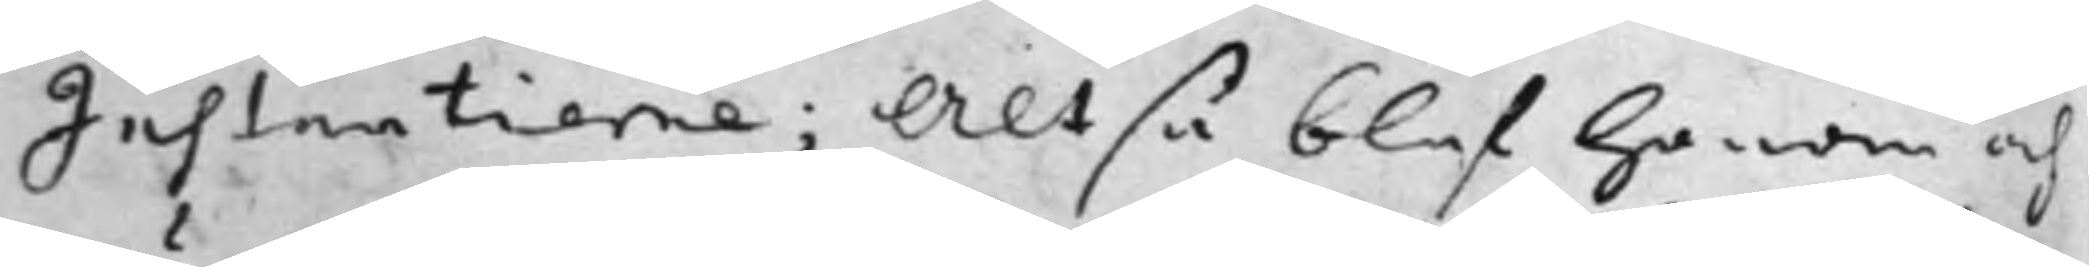Instantierna; Altså blef honom och
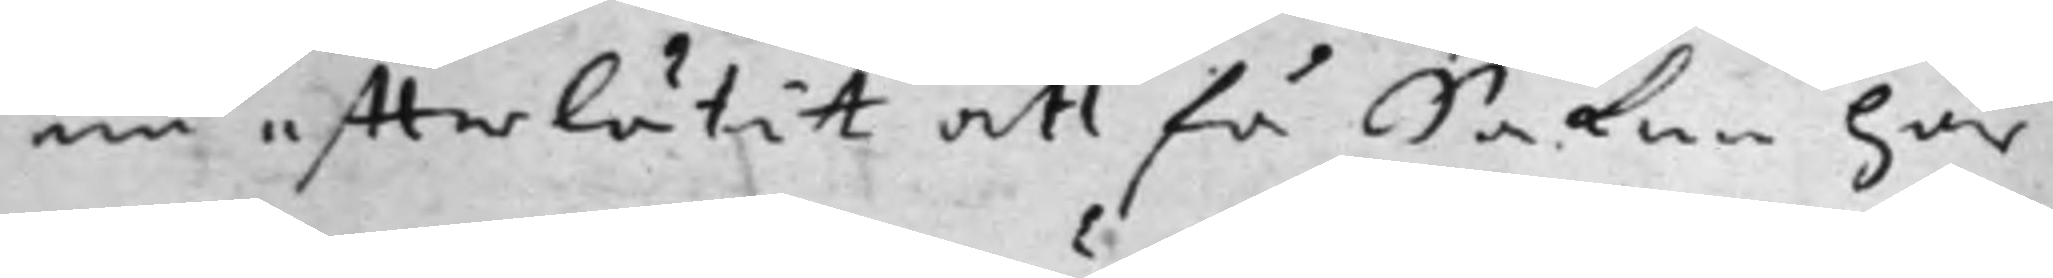nu effterlåtit att få Saken här
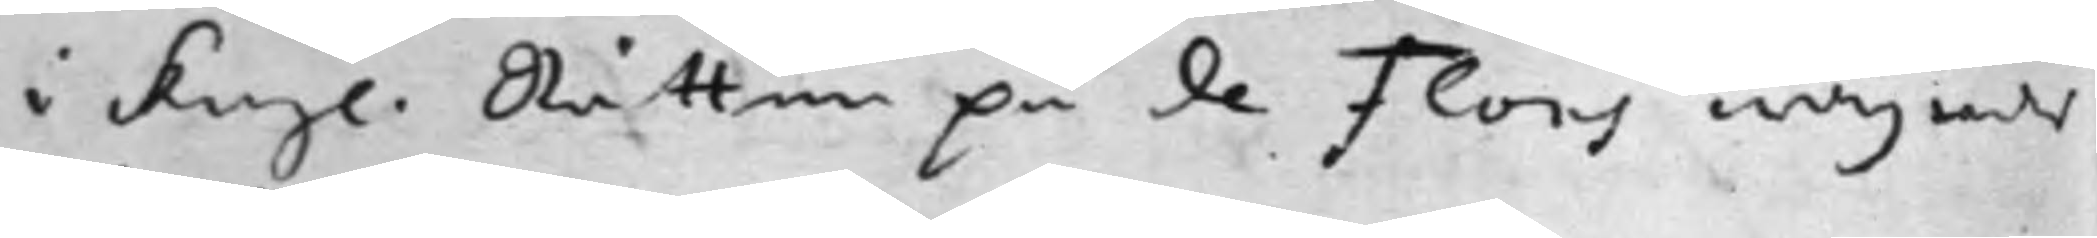i Kongl. Rätten på de Flons wägnar
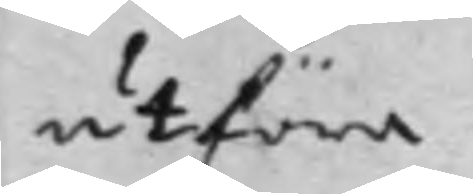utföra.
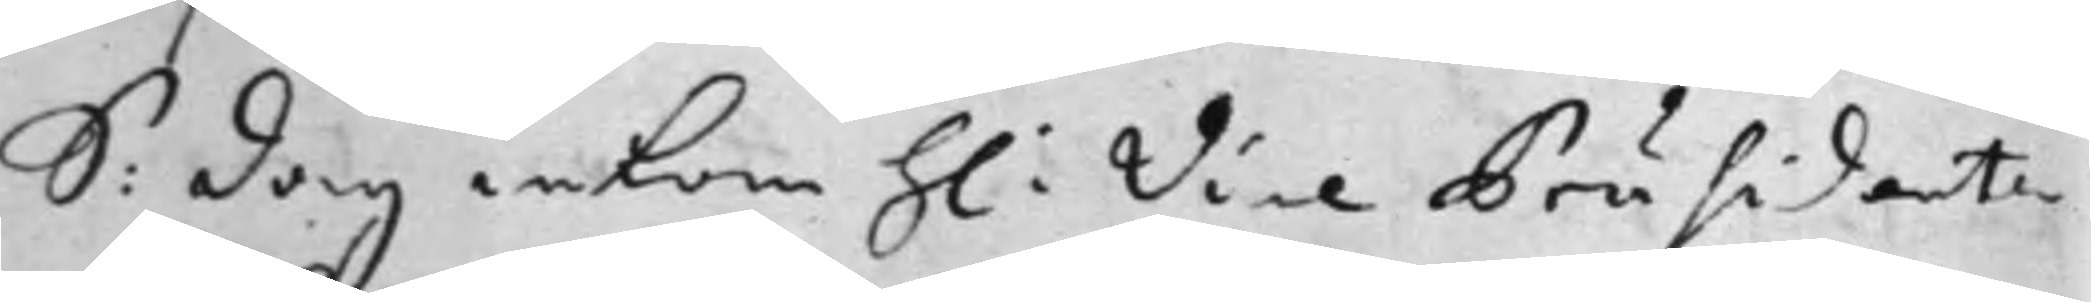S: dag inkom h: Vice Präsidenten
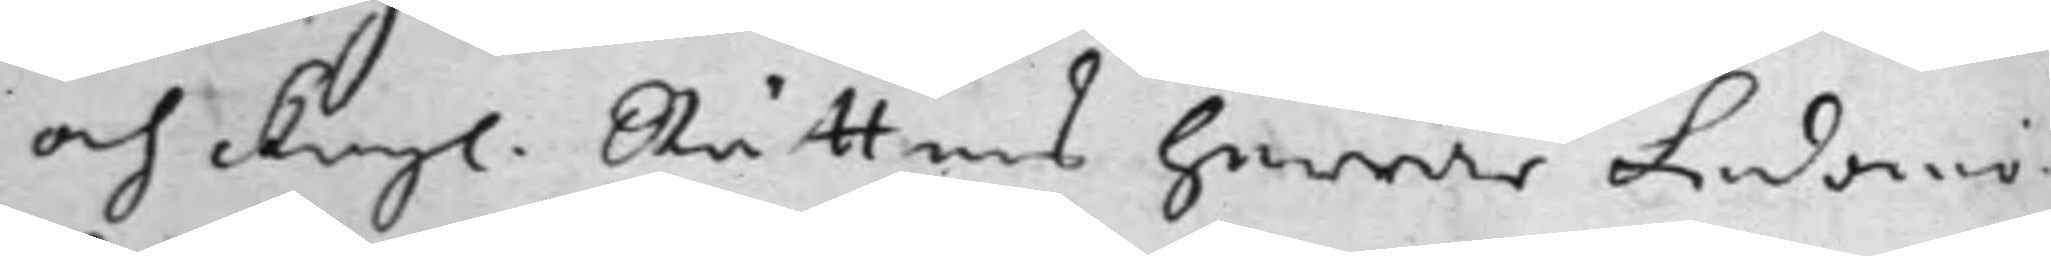och Kongl. Rättens Herrar Ledamö¬
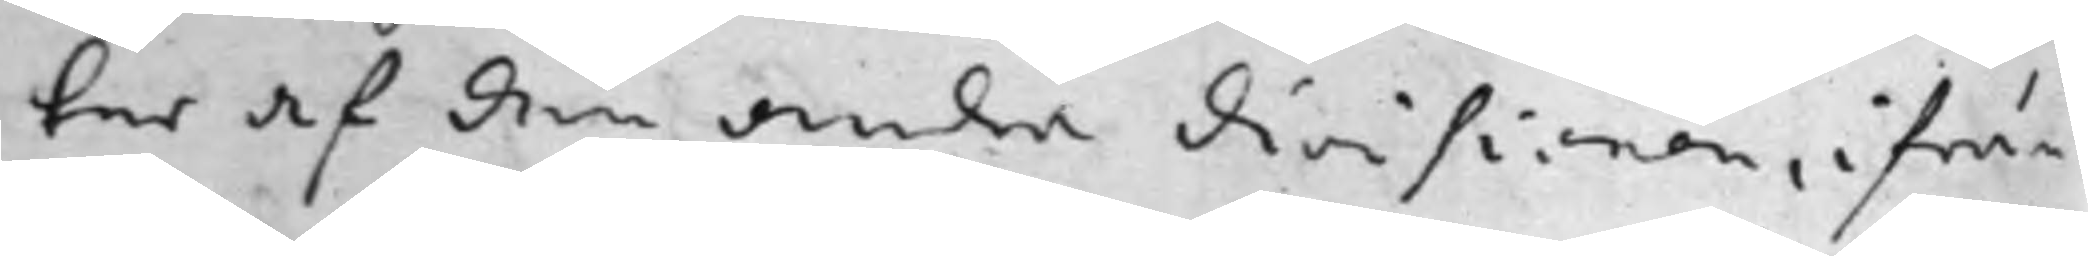ter af den andra divisionen, ifrån
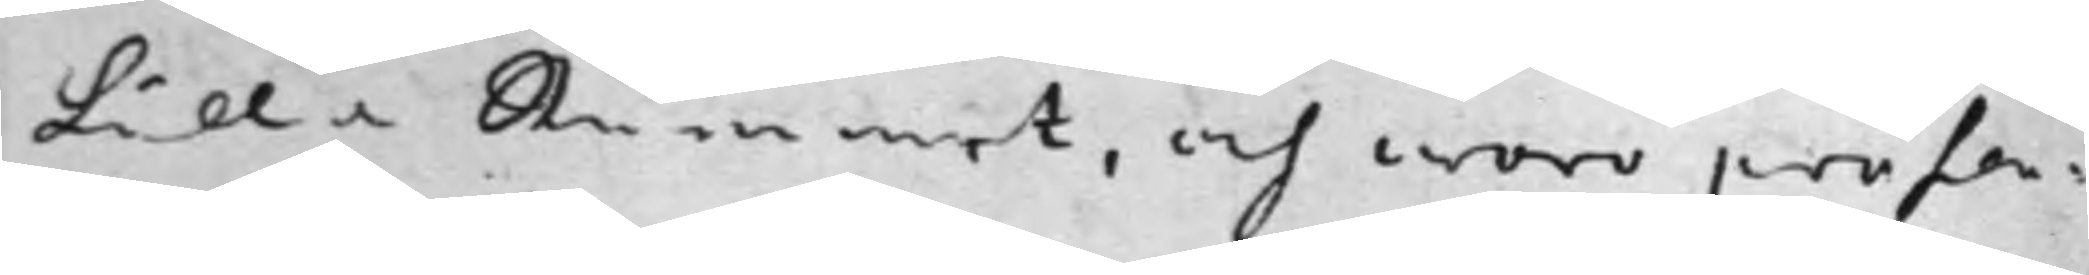Lilla Rummet, och woro präsen¬
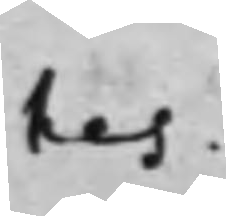tes.
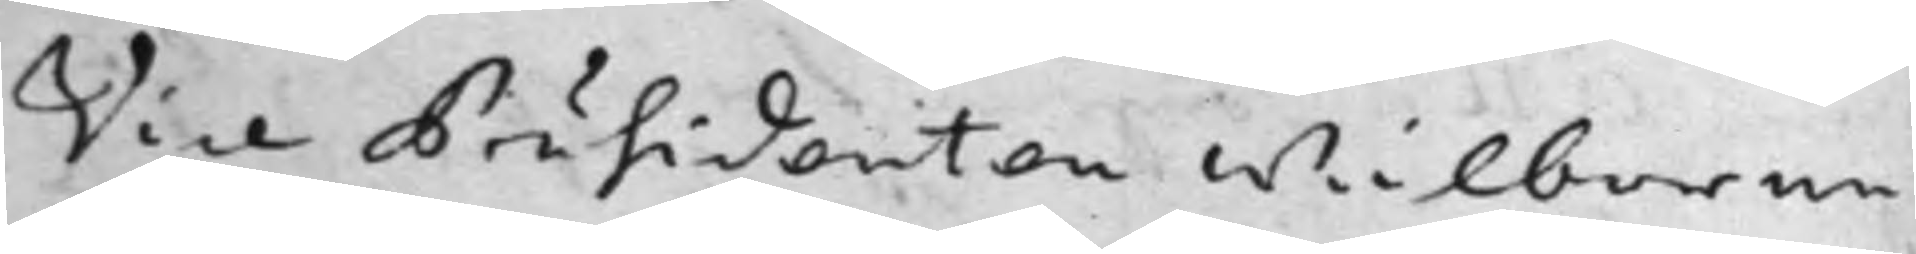Vice Präsidenten Wälborne
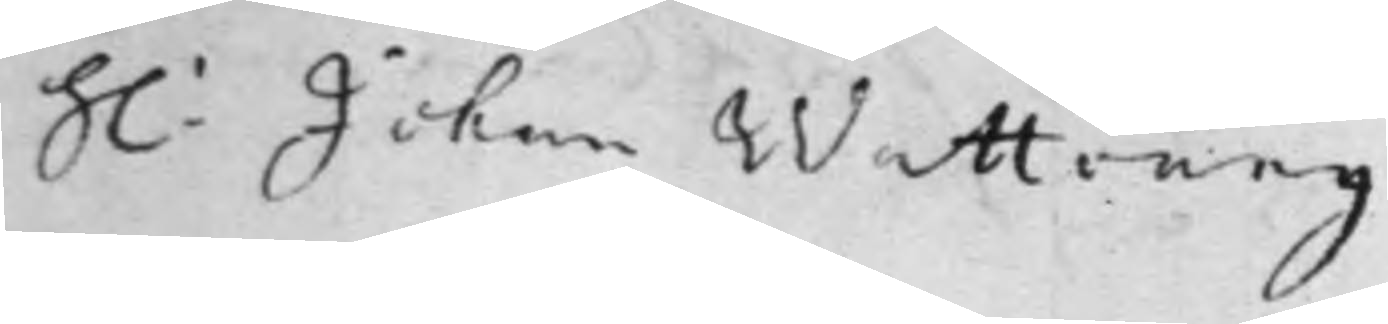h: Johan Wattrang
